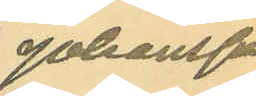Johansson.
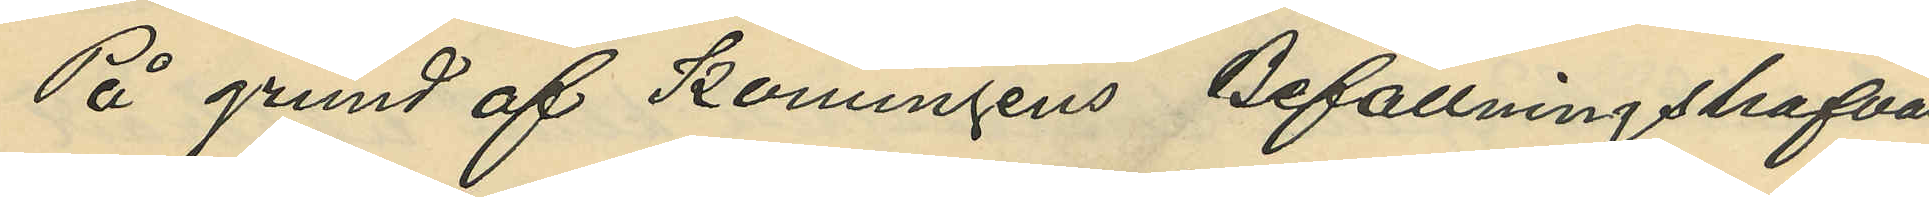På grund af Konungens Befallningshafvan¬
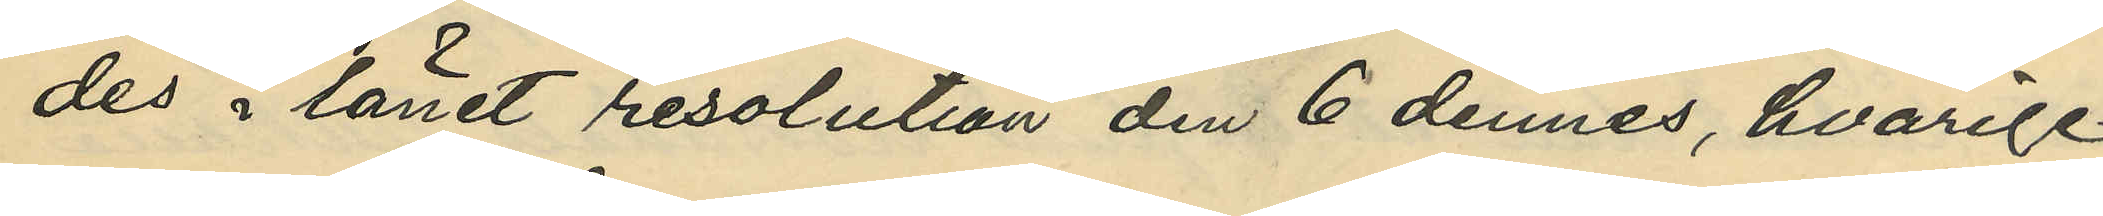des i länet resolution den 6 dennes, hvarige¬
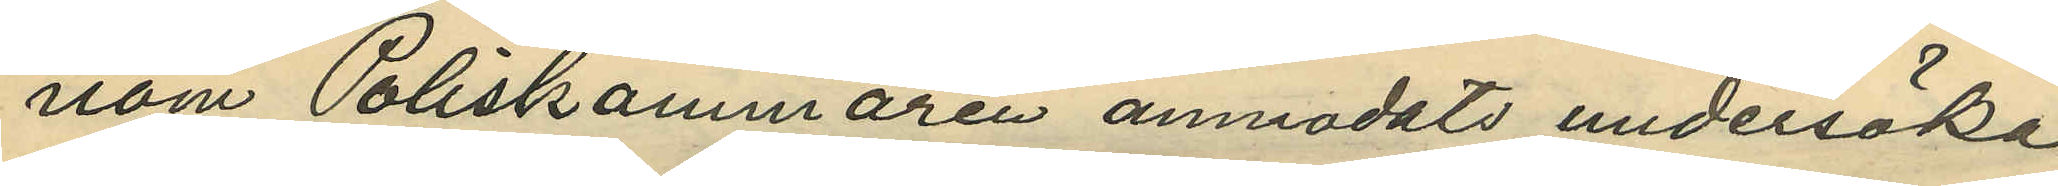nom Poliskammaren anmodats undersöka
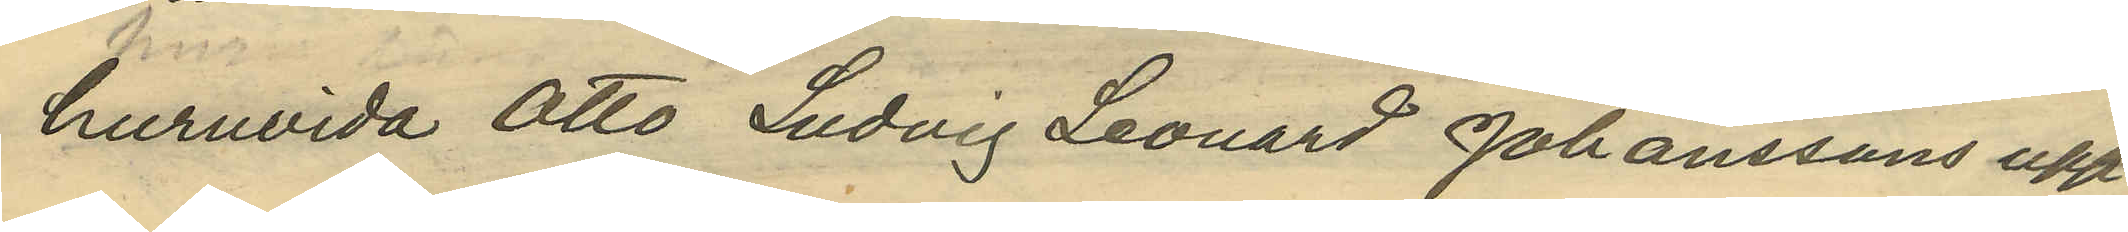huruvida Otto Ludvig Leonard Johanssons upp¬
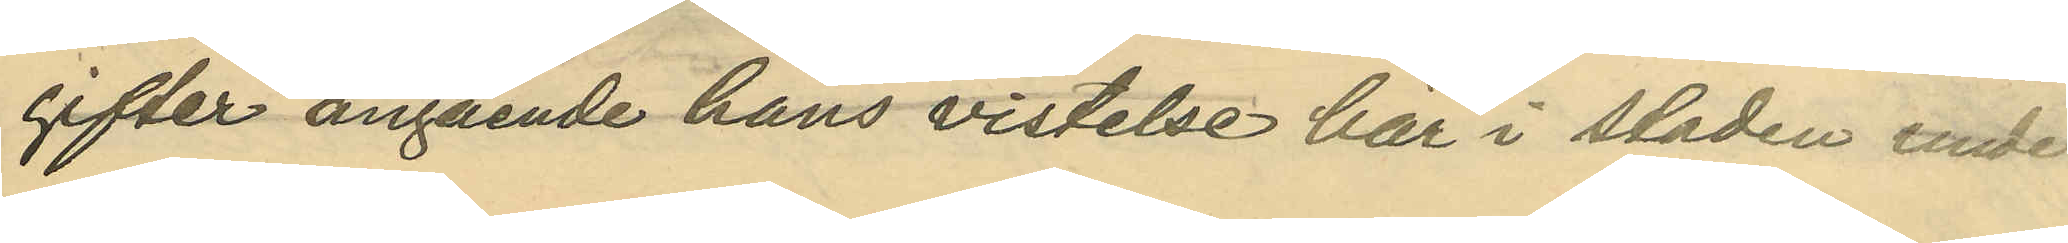gifter angående hans vistelse här i staden under
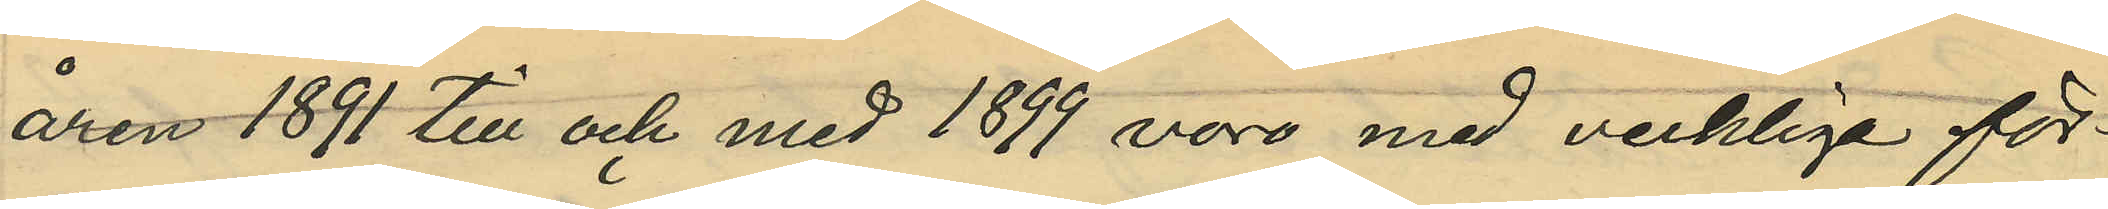åren 1891 till och med 1899 vore med verkliga för¬
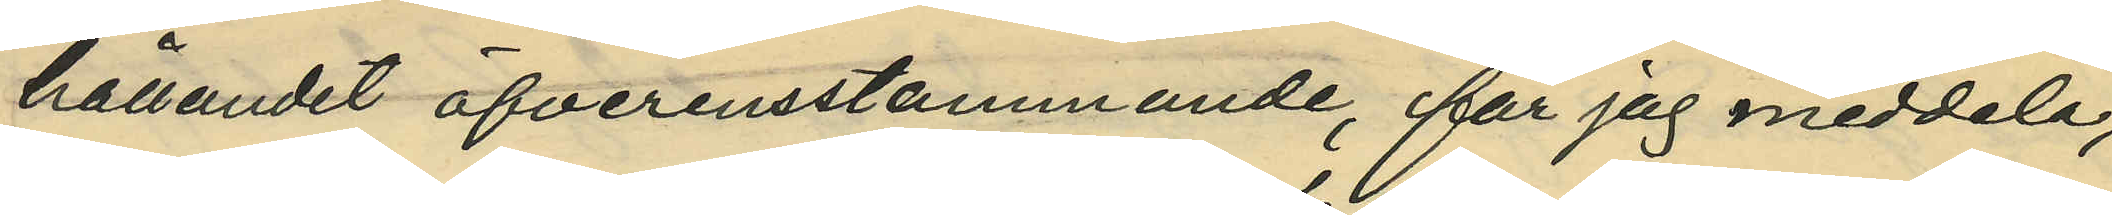hållandet öfverensstämmande, får jag meddela,
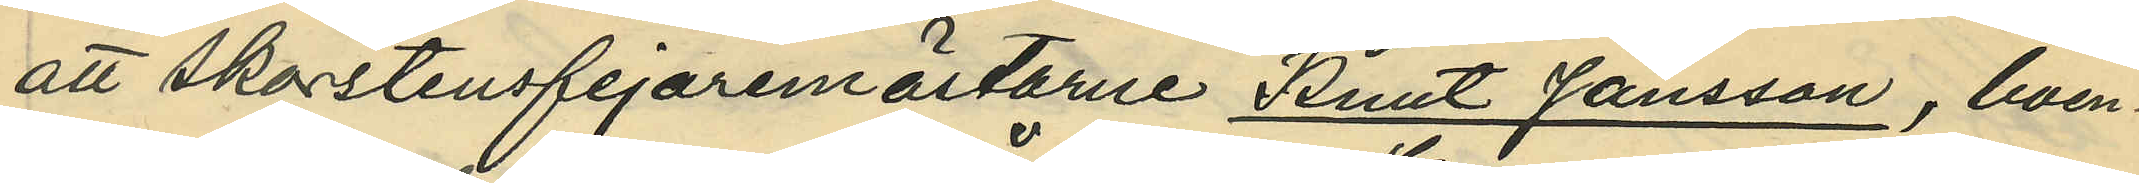att skorstensfejaremästarne Knut Jansson, boen¬
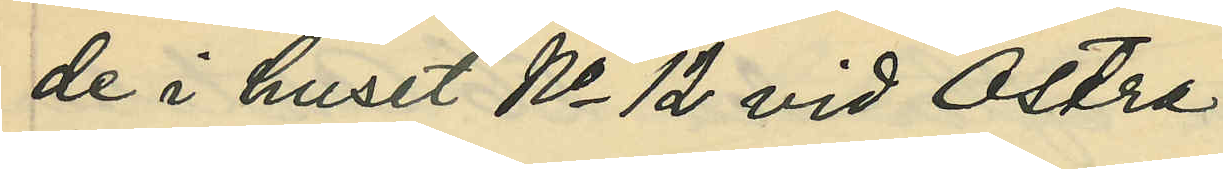de i huset No 12 vid Östra
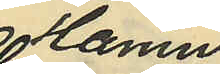Hamn¬
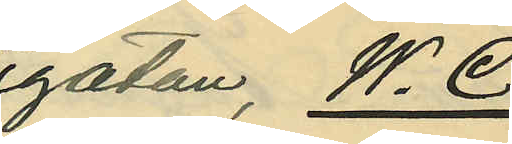gatan, W. C.
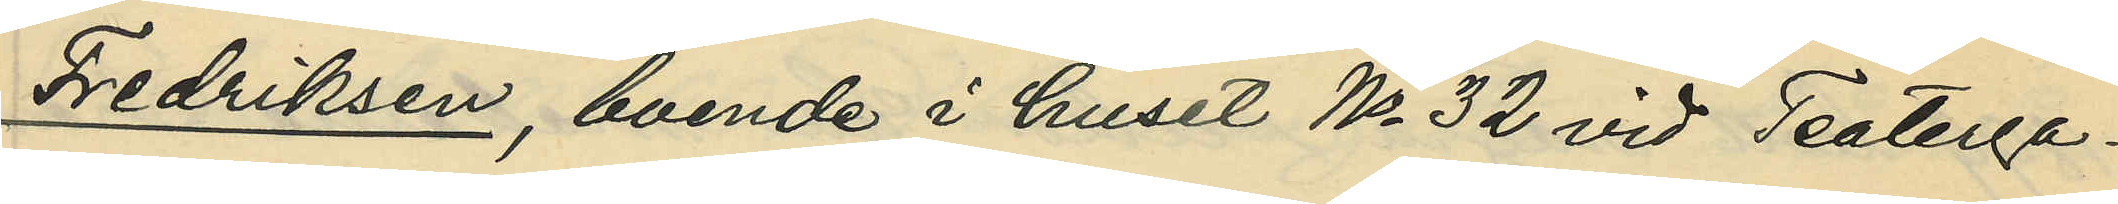Fredriksen, boende i huset No 32 vid Teaterga¬
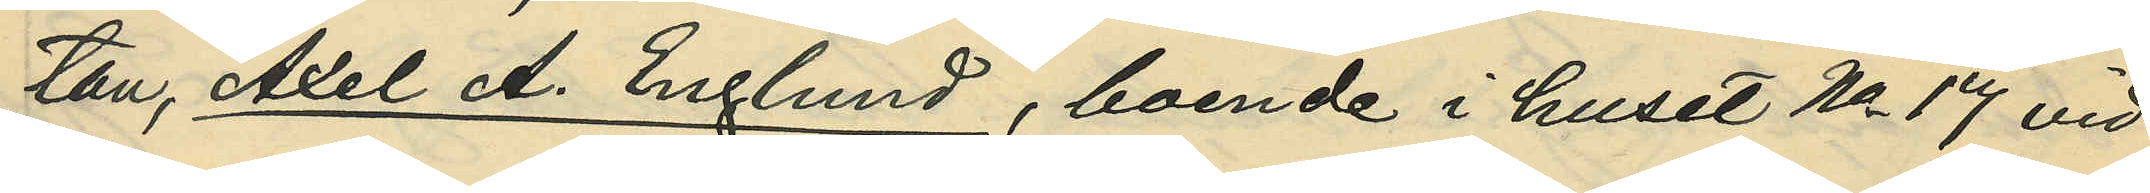tan, Axel A. Englund, boende i huset No 17 vid
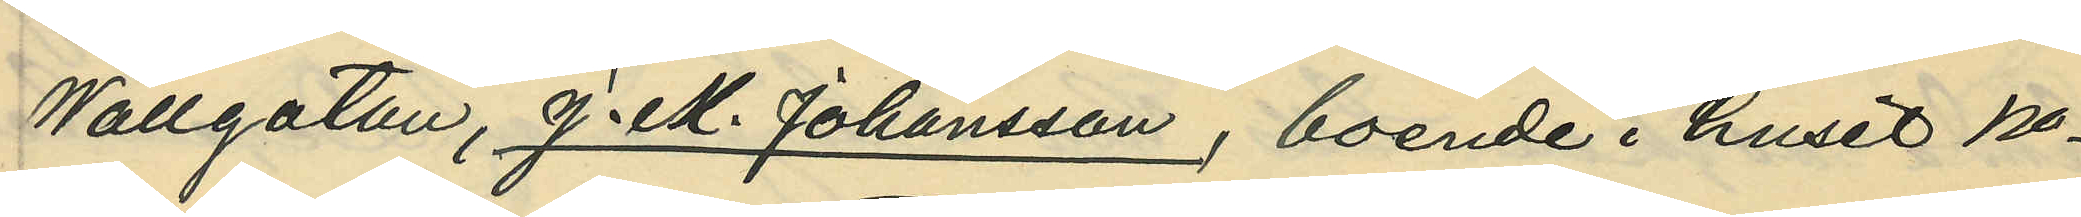Wallgatan, J. M. Johansson, boende i huset No
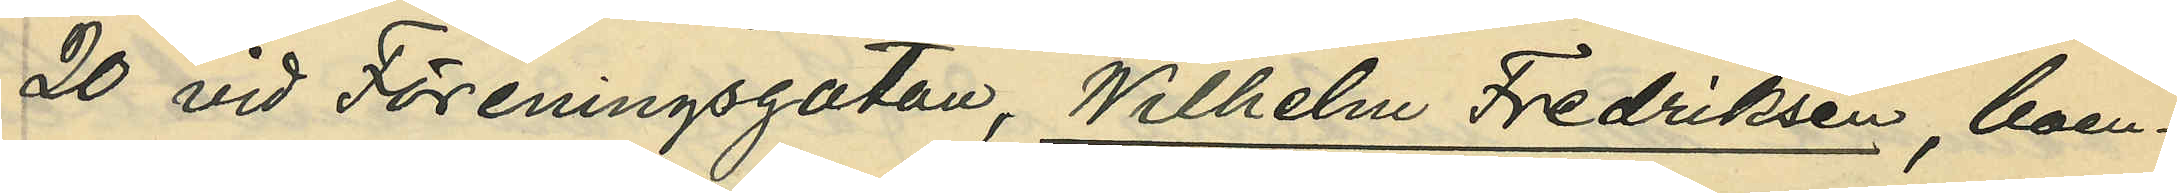20 vid Föreningsgatan, Wilhelm Fredriksen, boen¬
